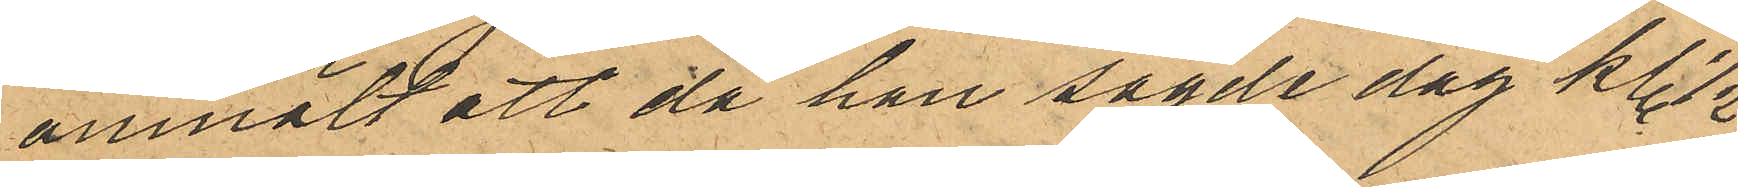anmält att då han sagde dag kl. 1/2
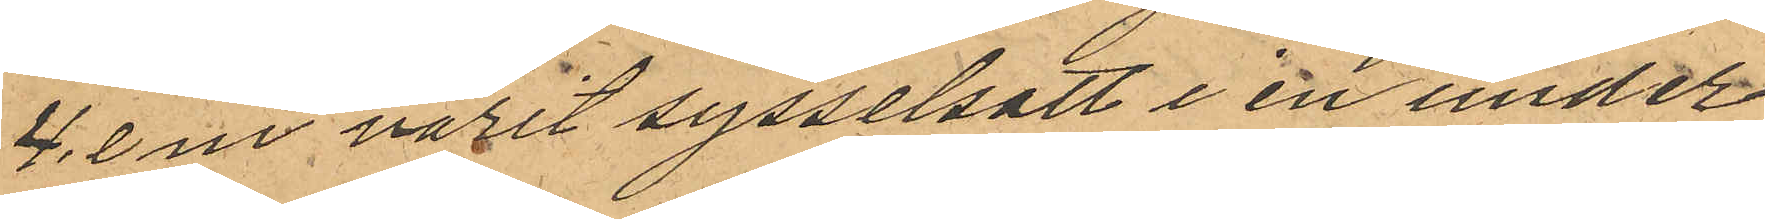4. e m varit sysselsatt i en under
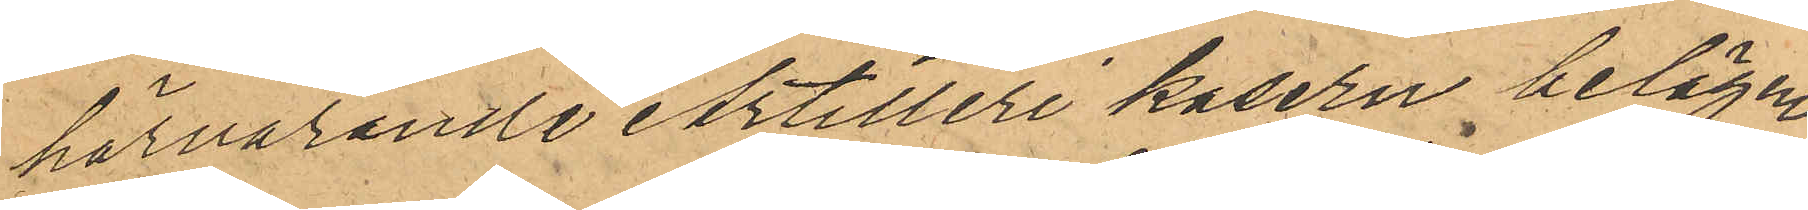härvarande Artilleri kasern belägen
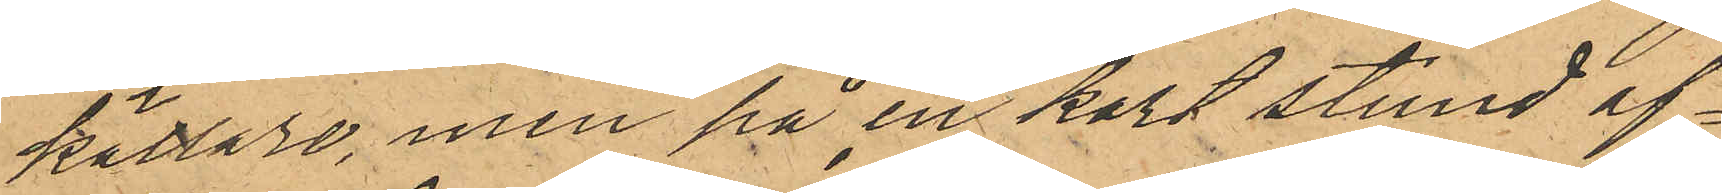källare, men på en kort stund af¬
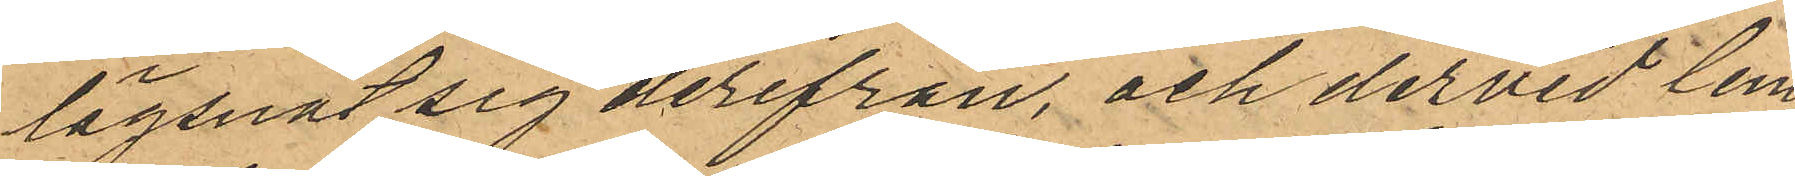lägsnat sig derifrån, och dervid lem¬
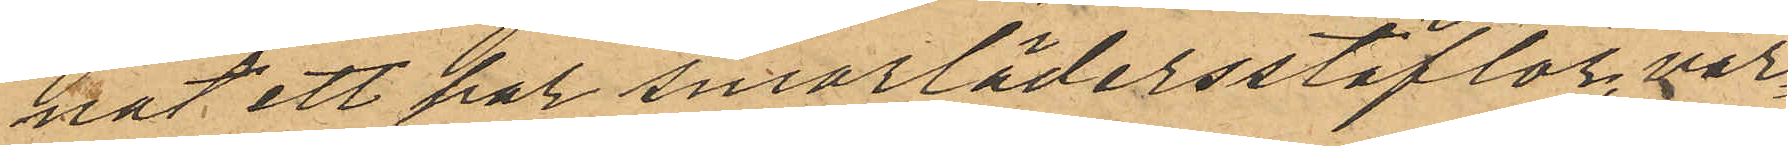nat ett par smorlädersstöflor, vär¬
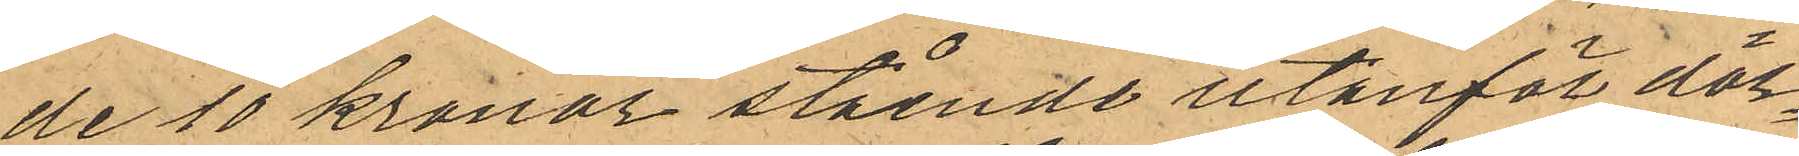de 10 kronor stående utanför dör¬
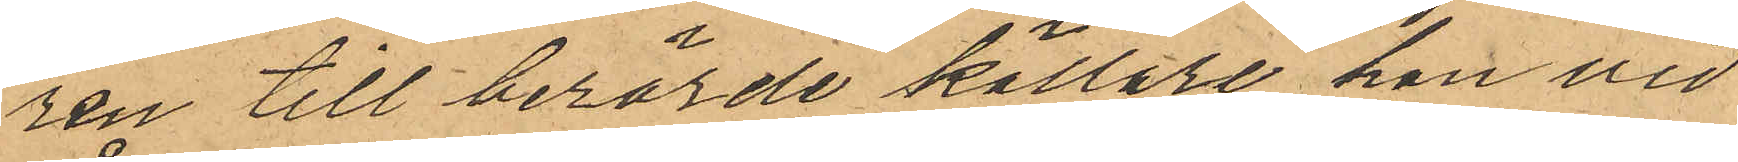ren till berörde källare han vid
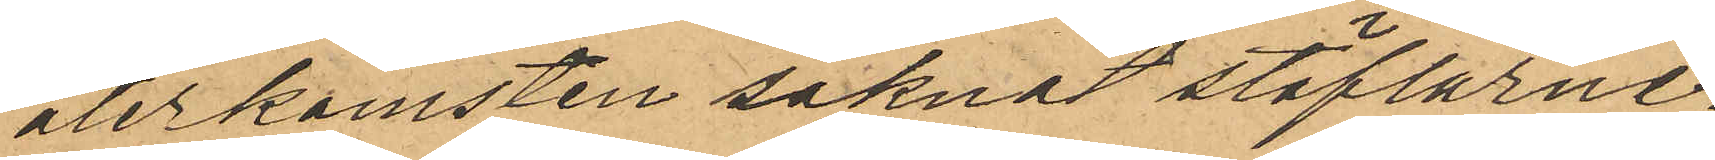återkomsten saknat stöflarne.
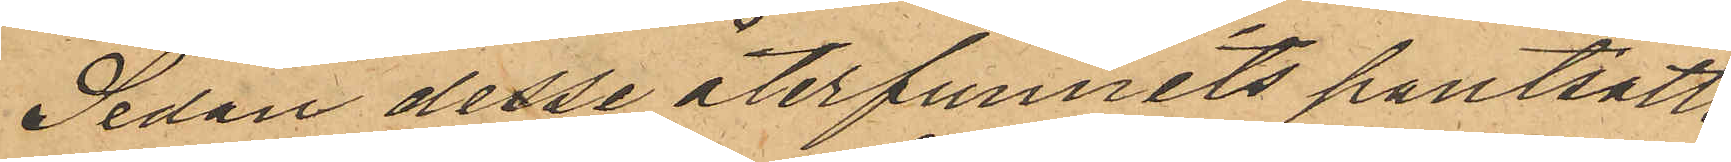Sedan desse återfunnits pantsatte
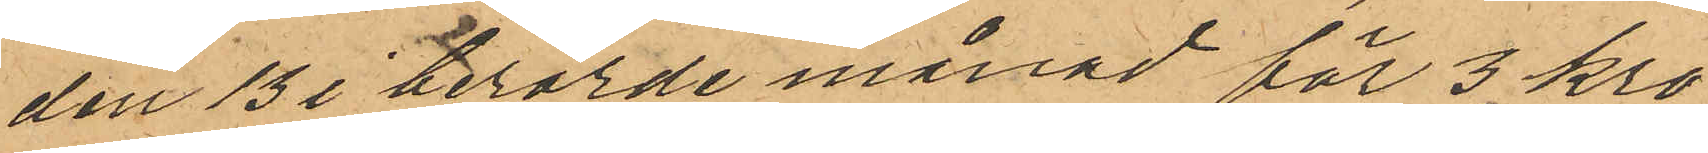den 13 i berörde månad för 3 kro¬
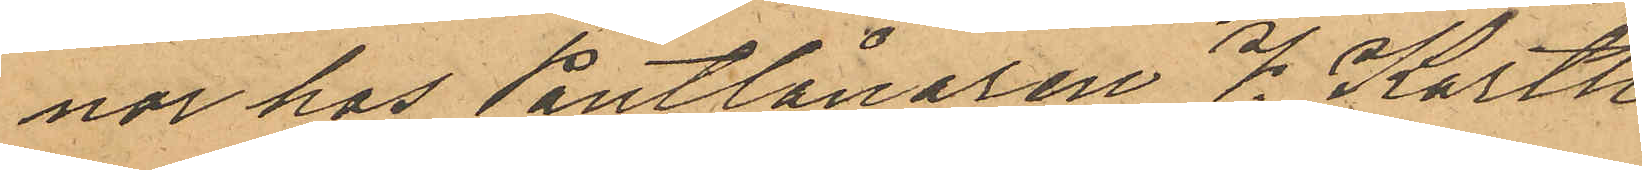nor hos Pantlånaren V. Karth
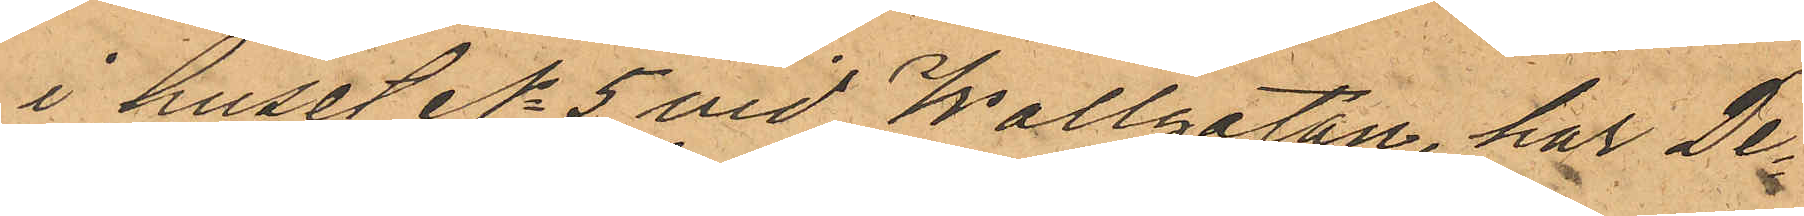i huset No 5 vid Wallgatan, har De¬
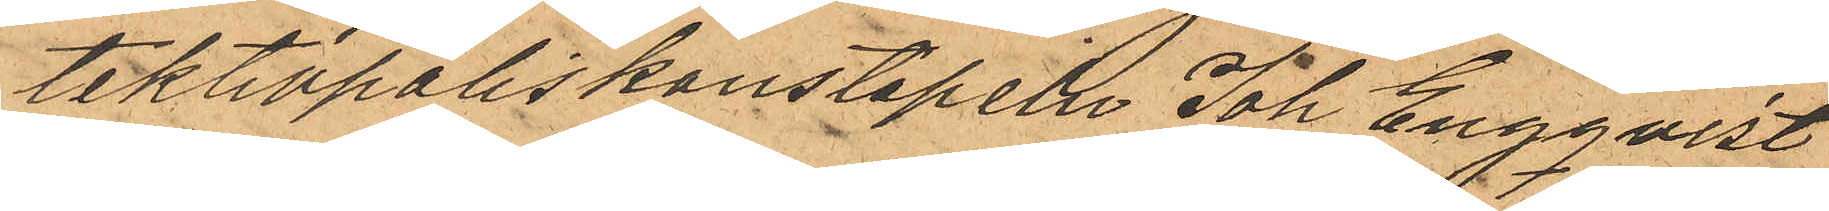tektivpoliskonstapeln Joh Engqvist
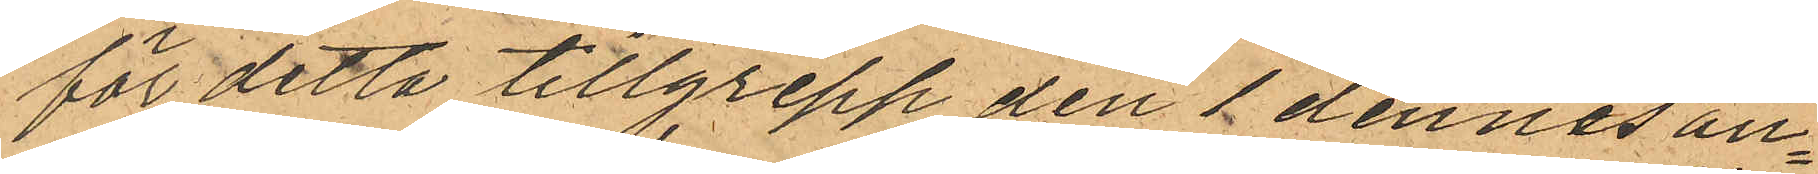för detta tillgrepp den 1 dennes an¬
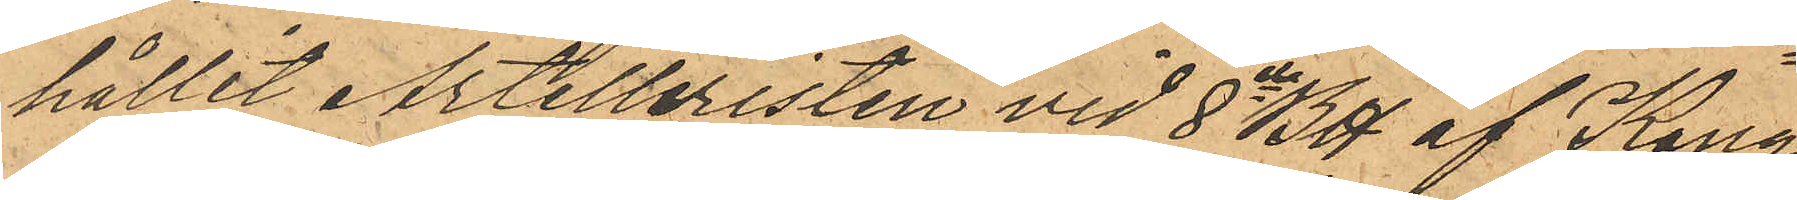hållit Artilleristen vid 8de Btt af Kong.
